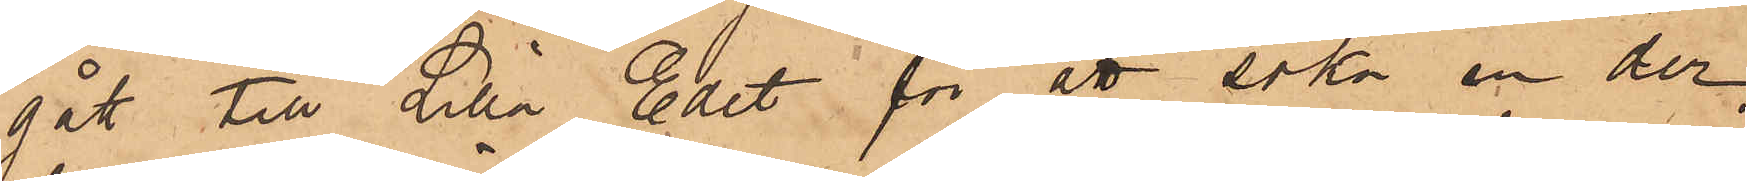gått till Lilla Edet för att söka en der
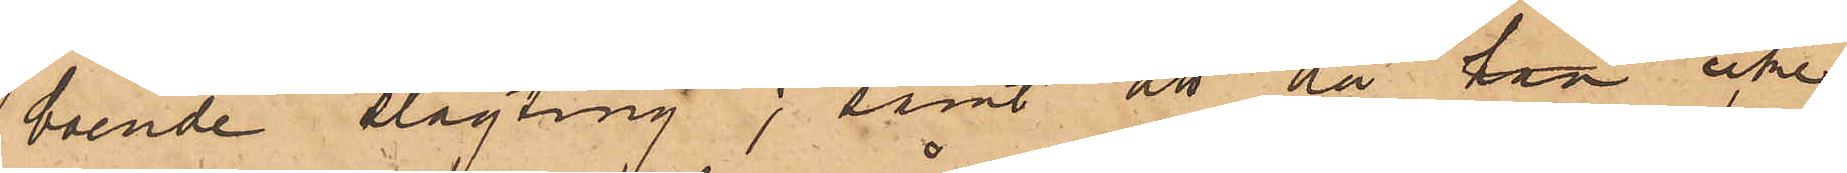boende slägting; samt att då han icke
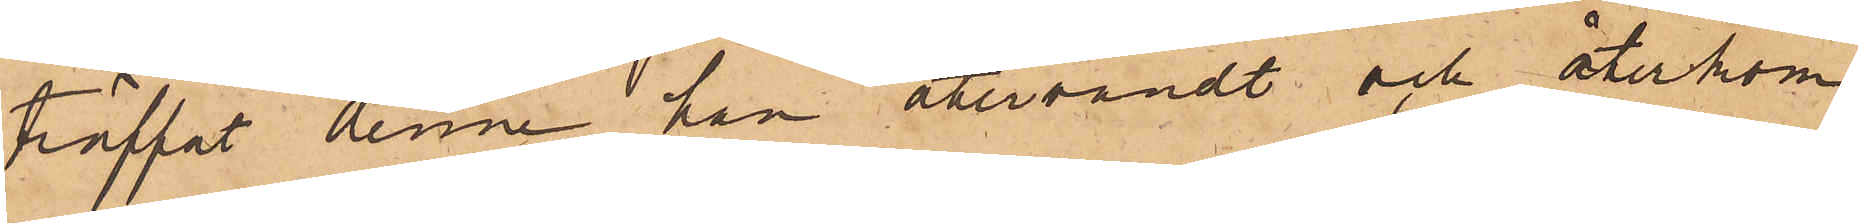träffat denne han återvändt och återkom¬
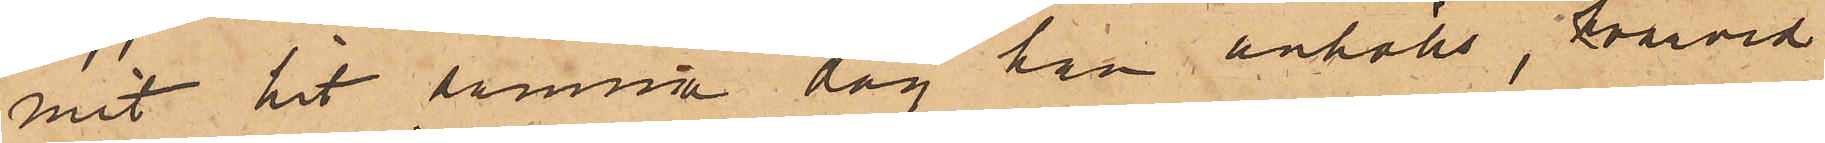mit hit samma dag han anhölls, hvarvid
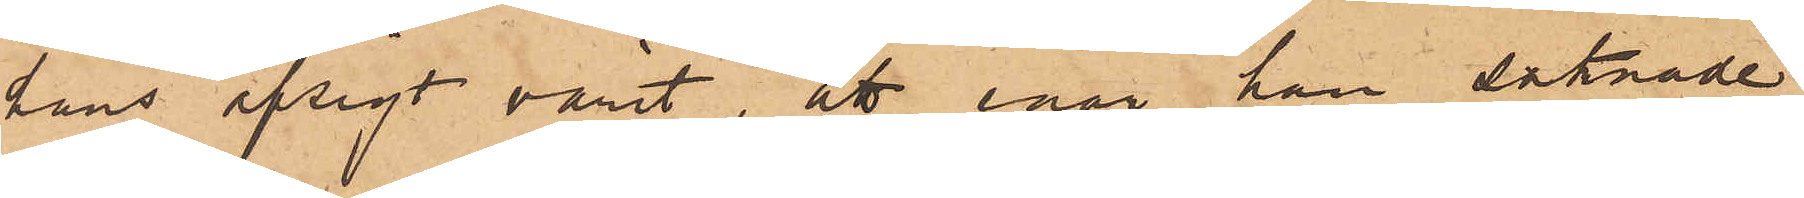hans afsigt varit, att enär han saknade
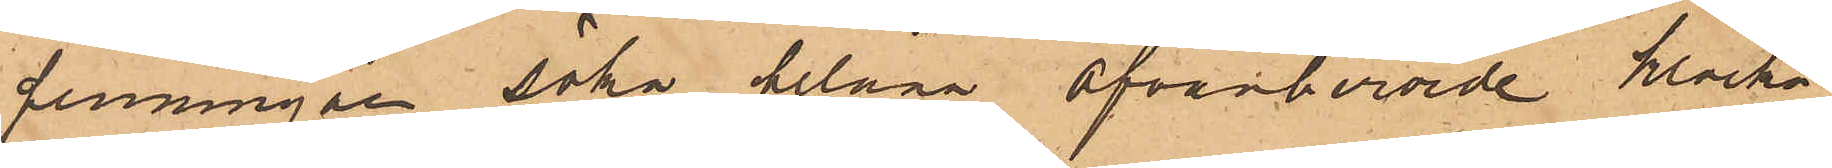penningar söka belåna ofvanberörde klocka
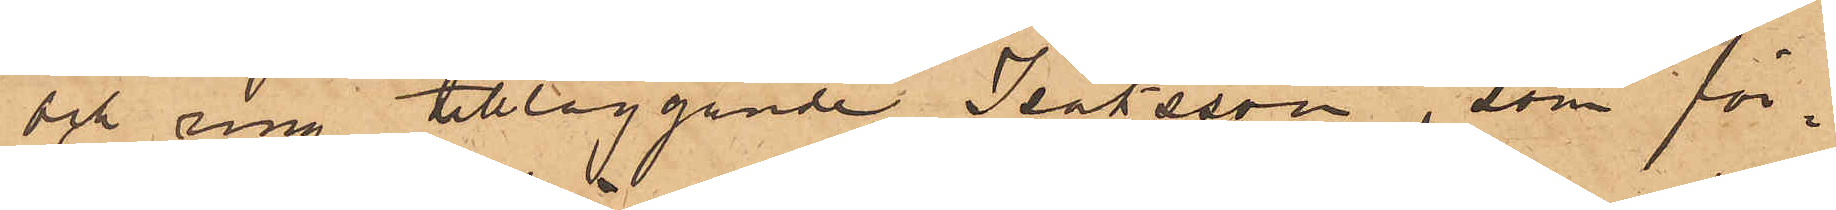och ring tillläggande Isaksson, som för¬
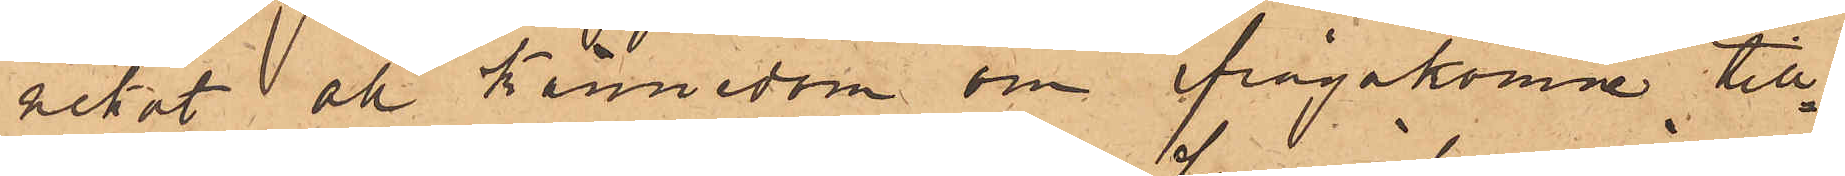nekat all kännedom om ifrågakomne till¬
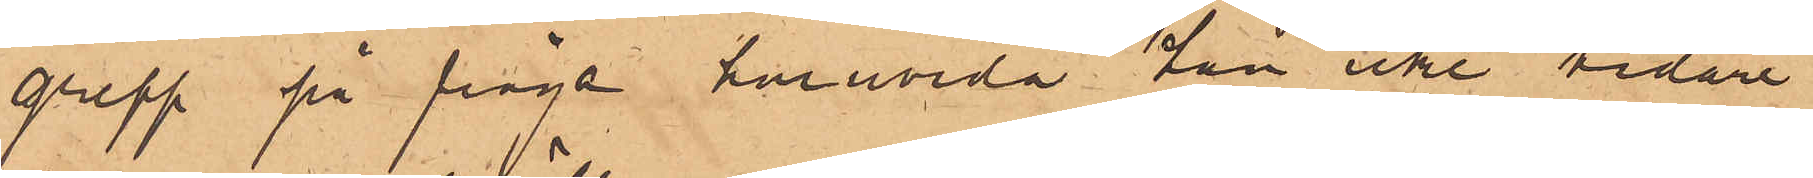grepp på fråga huruvida han icke vidare
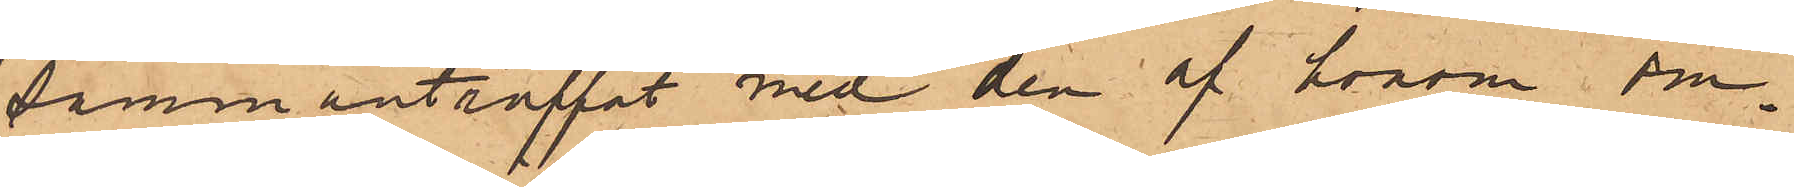sammanträffat med den af honom om¬
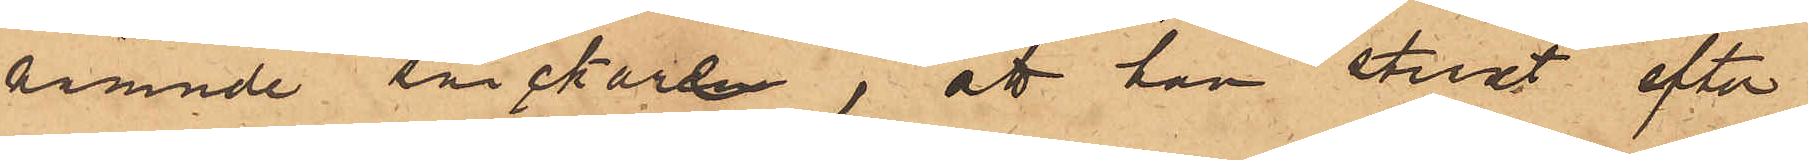nämnde snickare, att han straxt efter
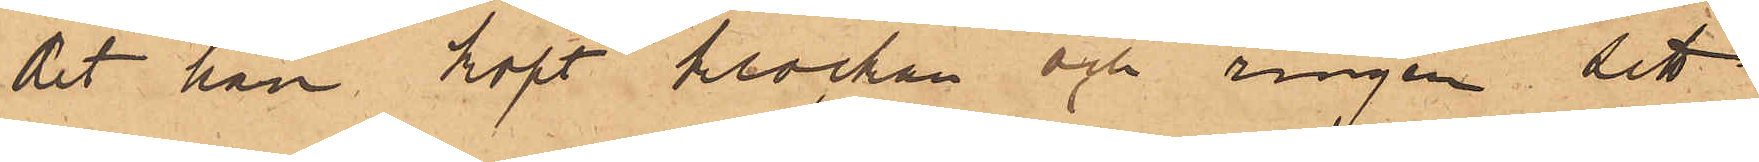det han köpt klockan och ringen sett
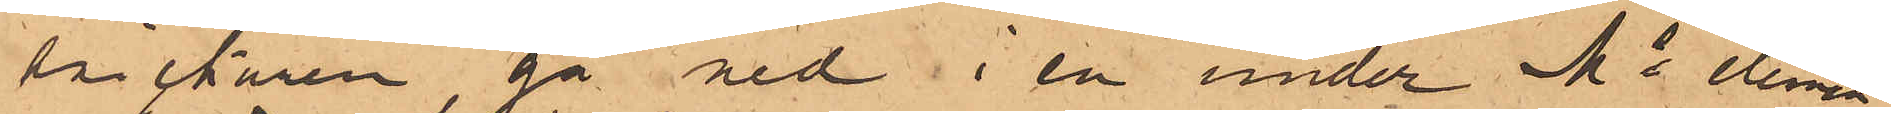snickaren gå ned i en under Ms elemen¬
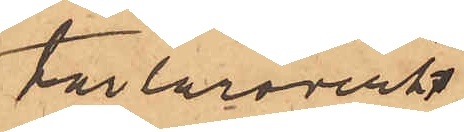tarläroverks
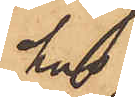hus
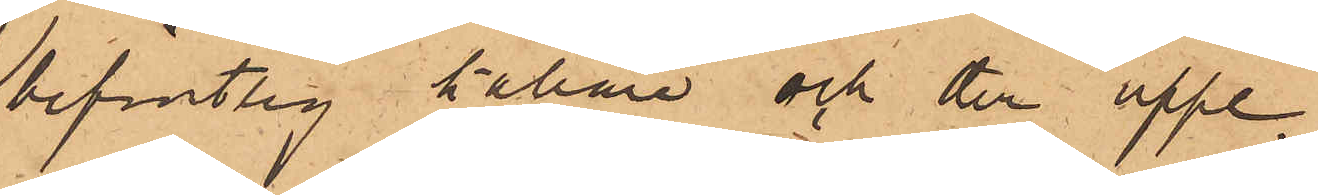befintlig källare och der uppe¬
